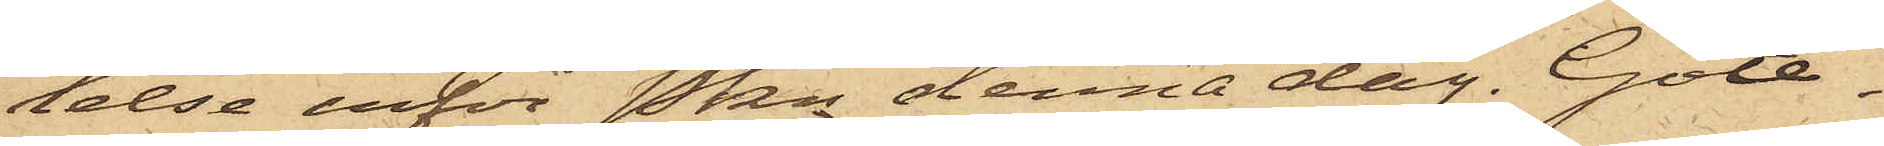lelse inför Pkn denna dag. Göte¬
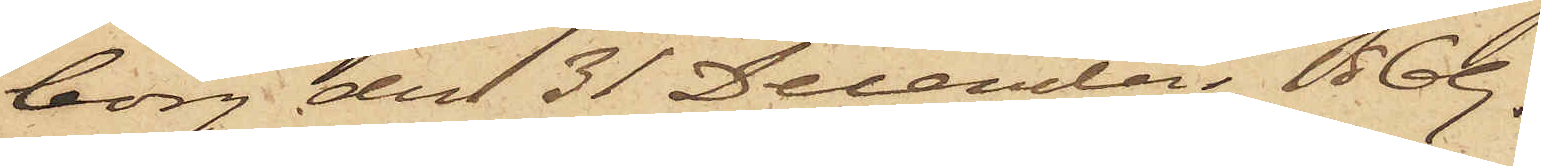borg den 31 December 1869.
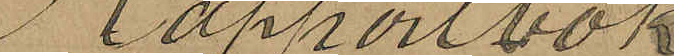Rapportbok
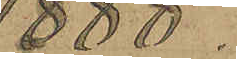1888.
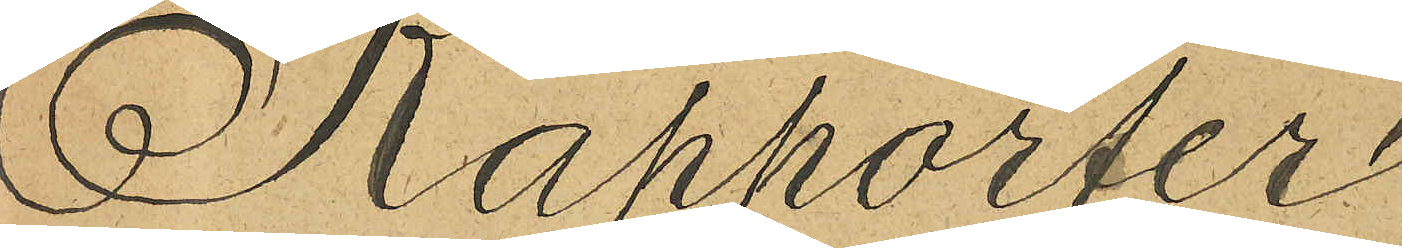Rapporter
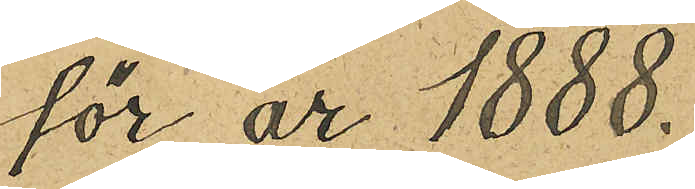för år 1888.
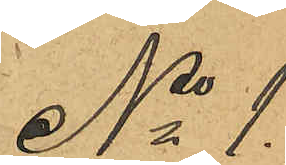No 1.
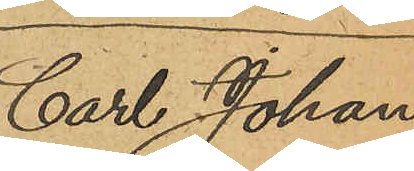Carl Johan
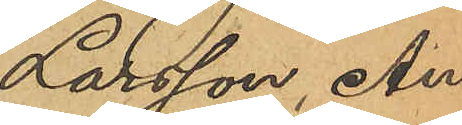Larsson, An¬
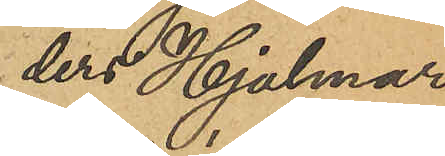ders Hjalmar
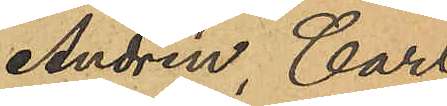Andrén, Carl
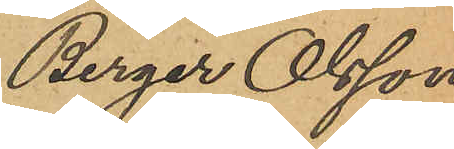Berger Olsson
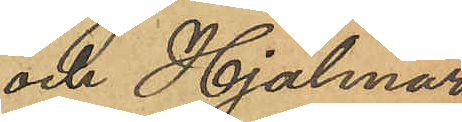och Hjalmar
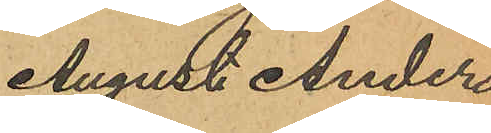August Anders¬
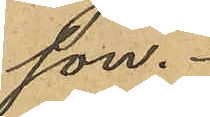son.
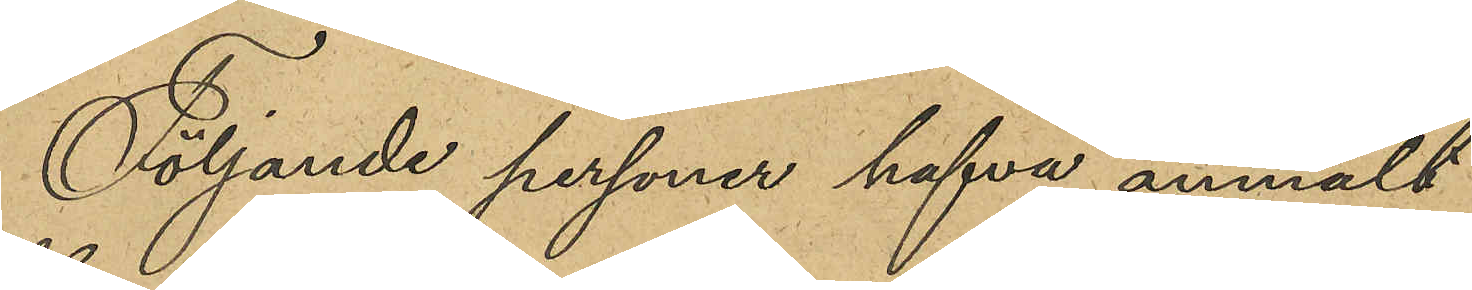Följande personer hafva anmält
